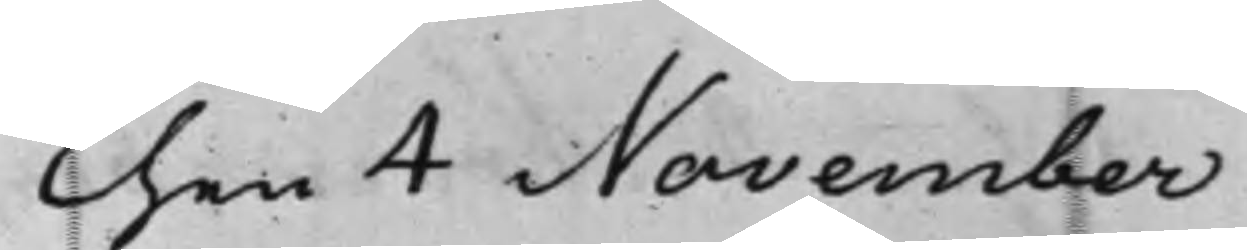Then 4 November
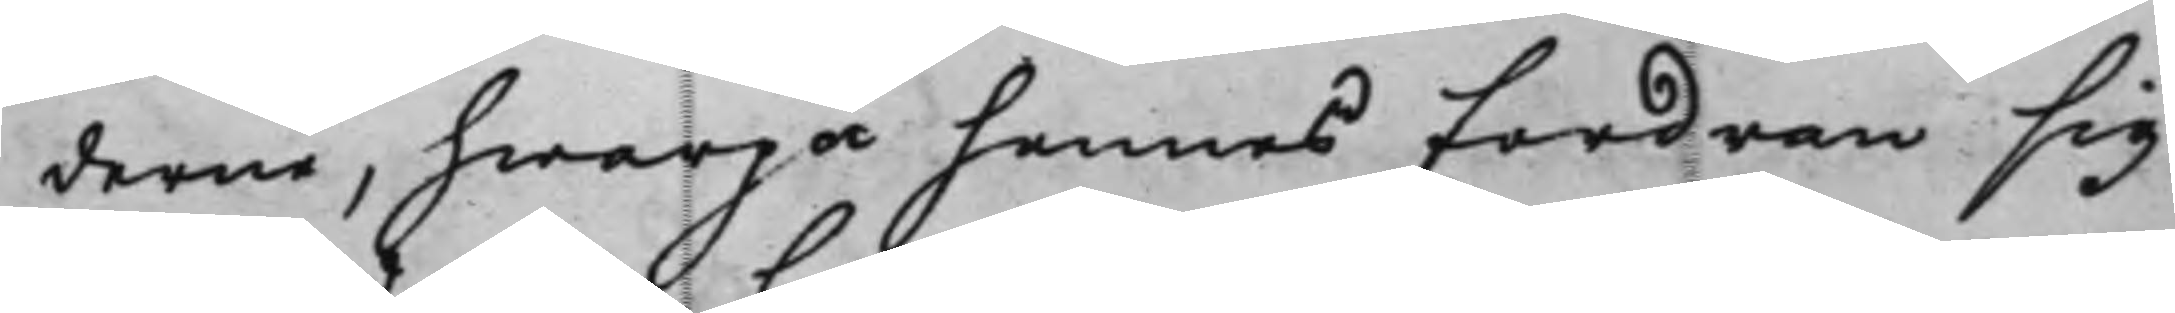derne, hwarpå hennes Fordran sig
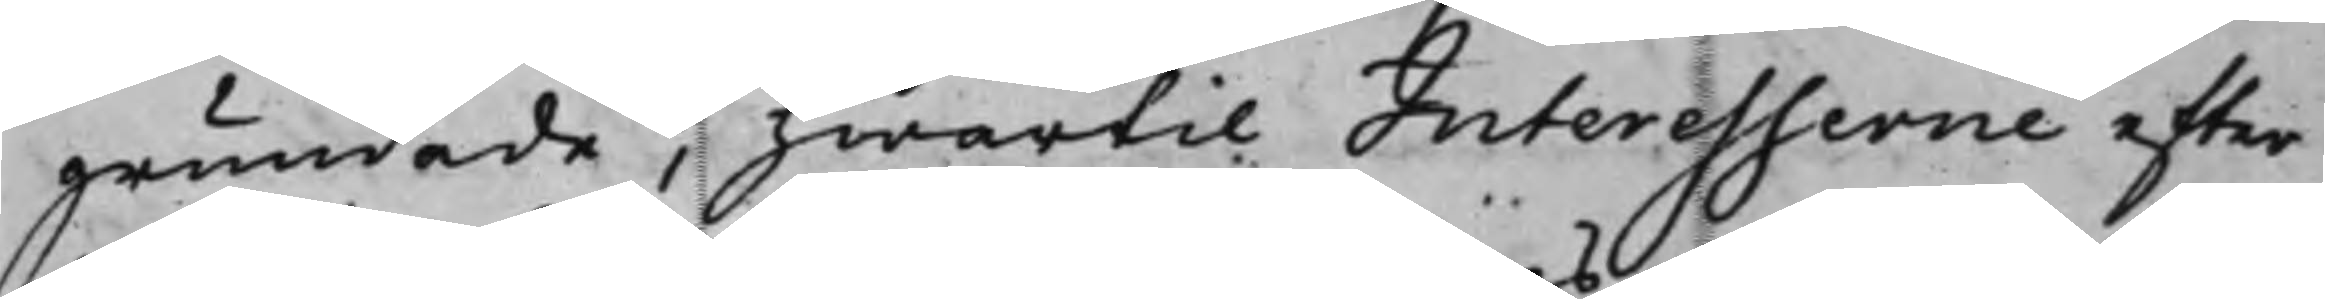grundade, hwartill Interesserne efter
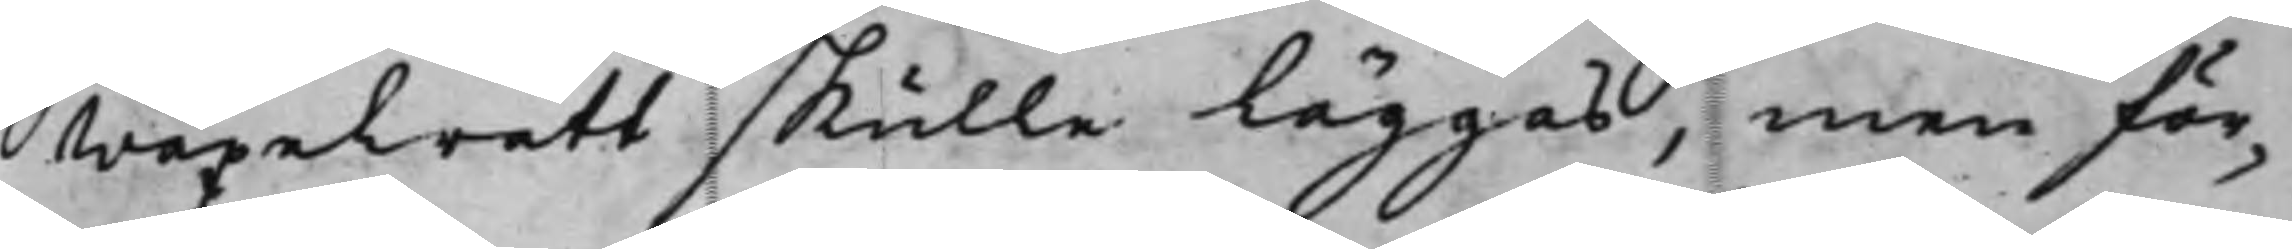wäxelrätt skulle läggas, men för¬
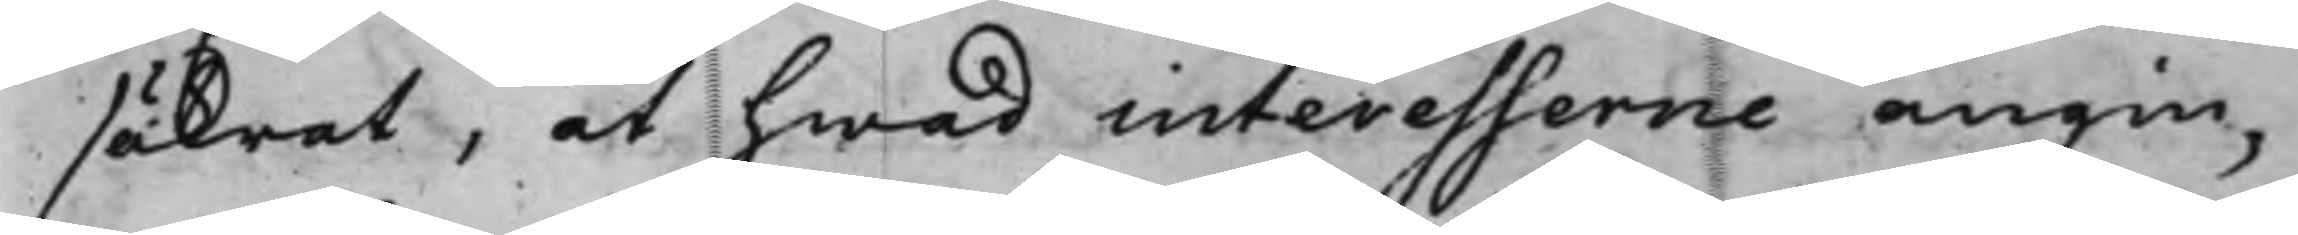säkrät, at hwad interesserne angin¬
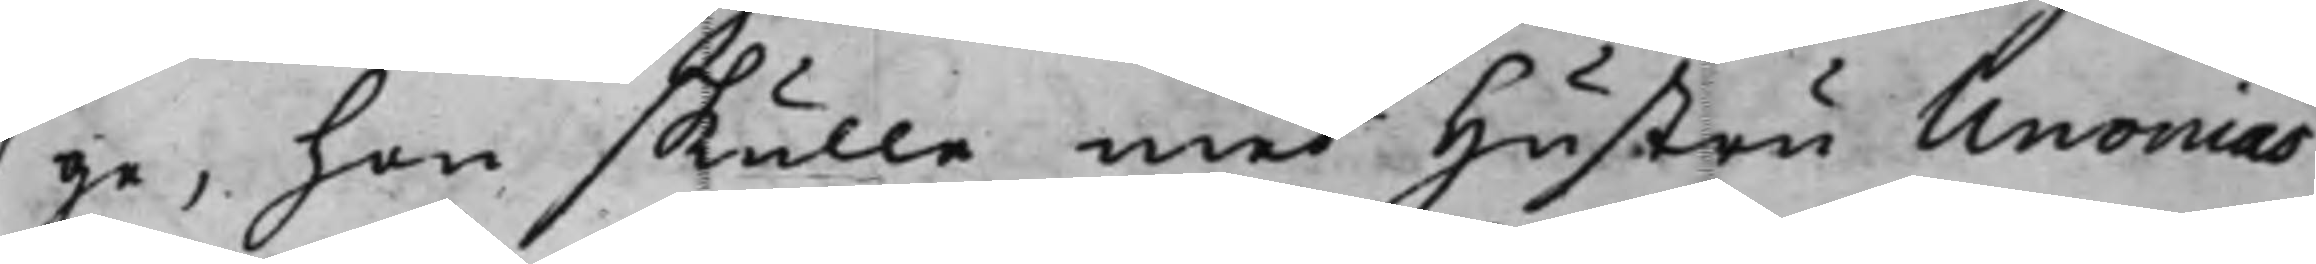ge, hon skulle med Hustru Unonias
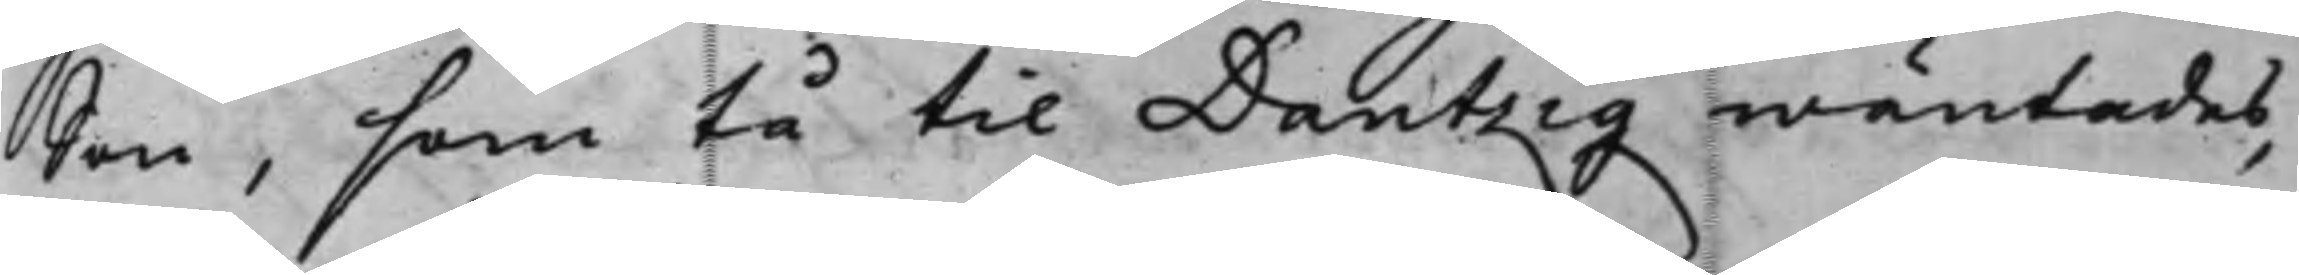Son, som tå til Dantzig wäntades,
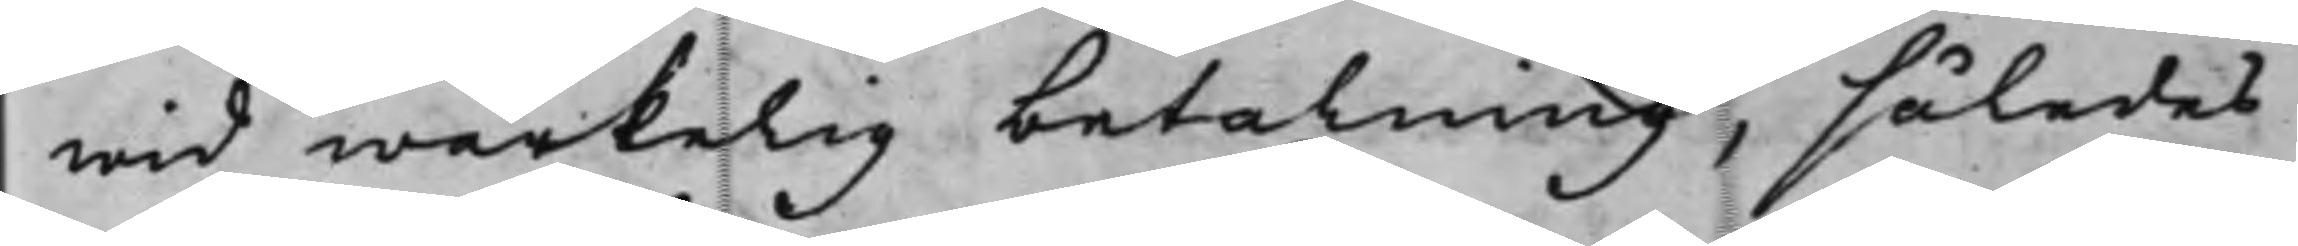wid wärkelig betalning, således
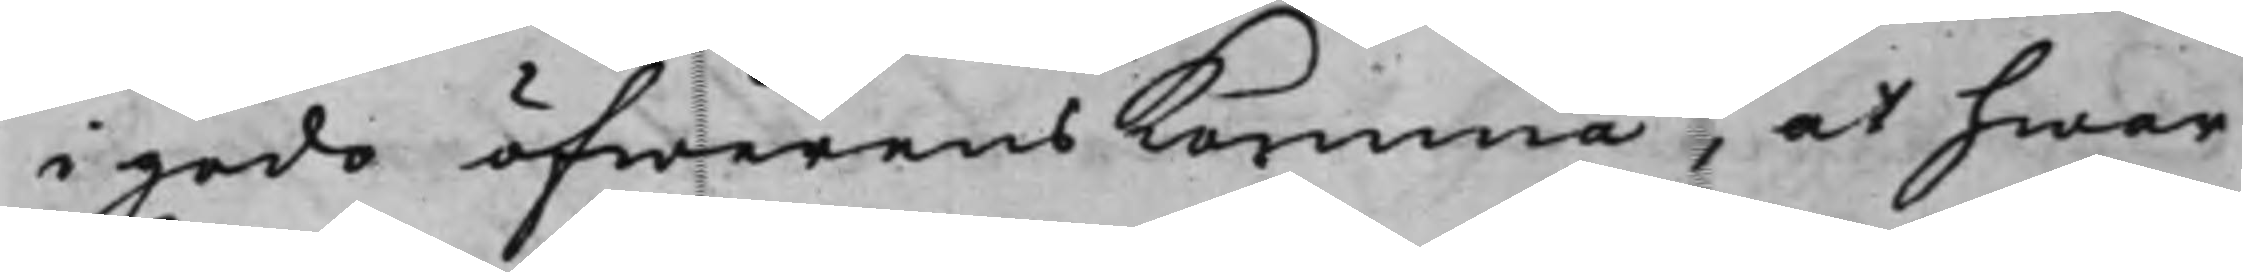i godo öfwerenskomma, at hwar
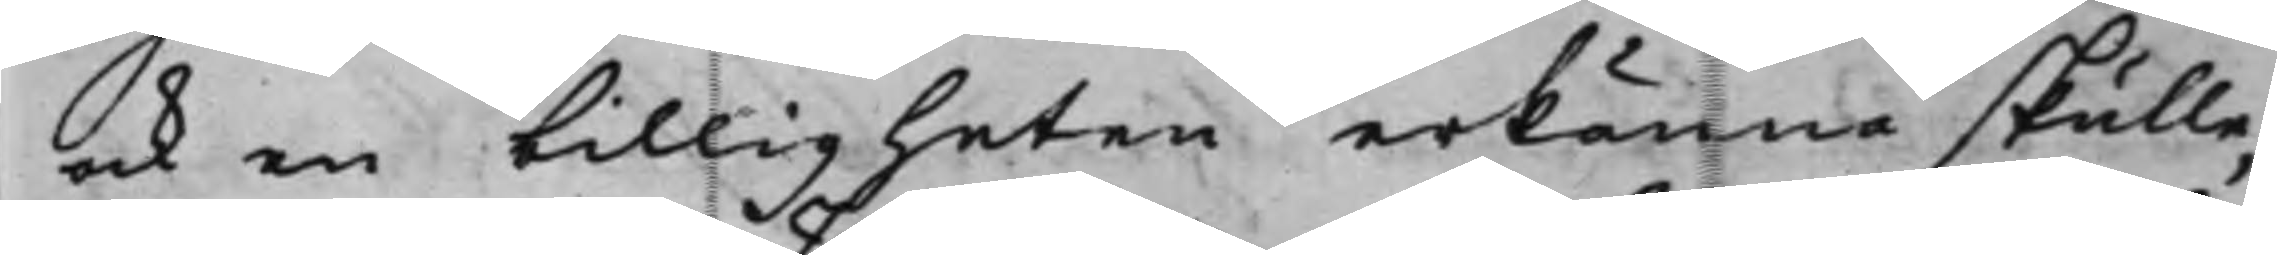ock en billigheten erkänna skulle,
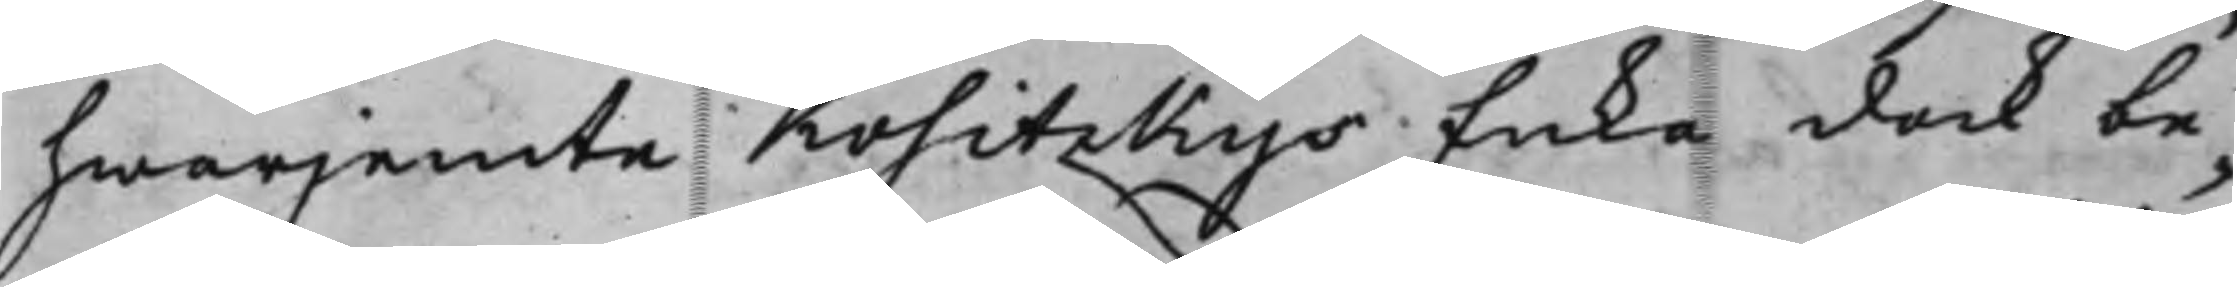hwarjemte Kositzkys Enka dock be¬
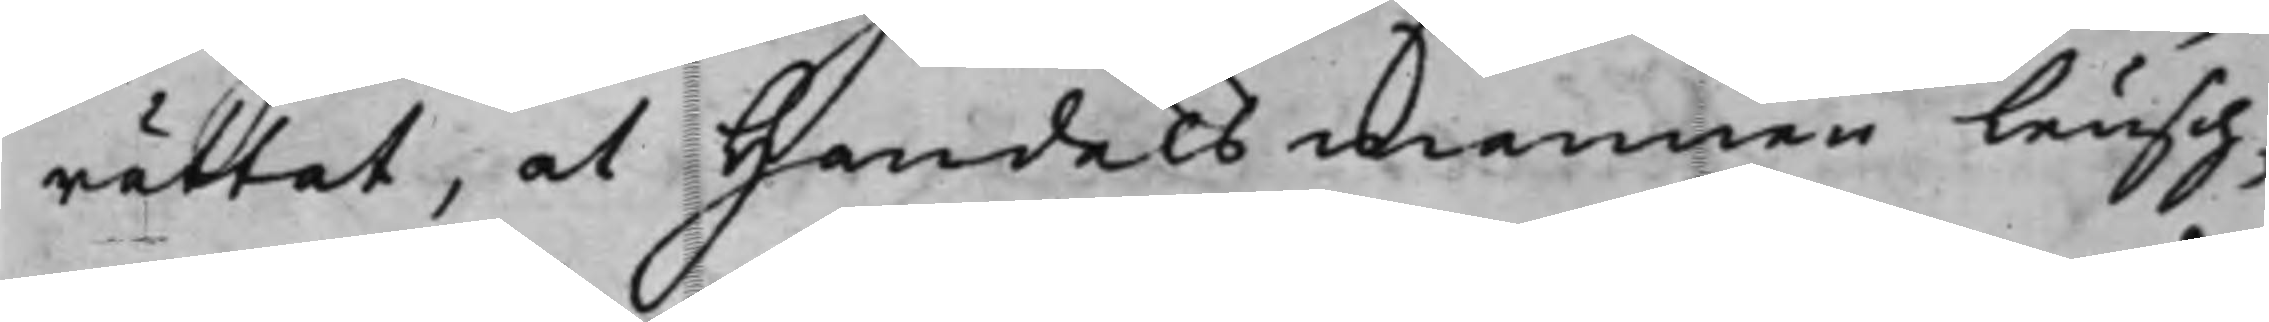rättat, at Handelsmannen Leusch¬
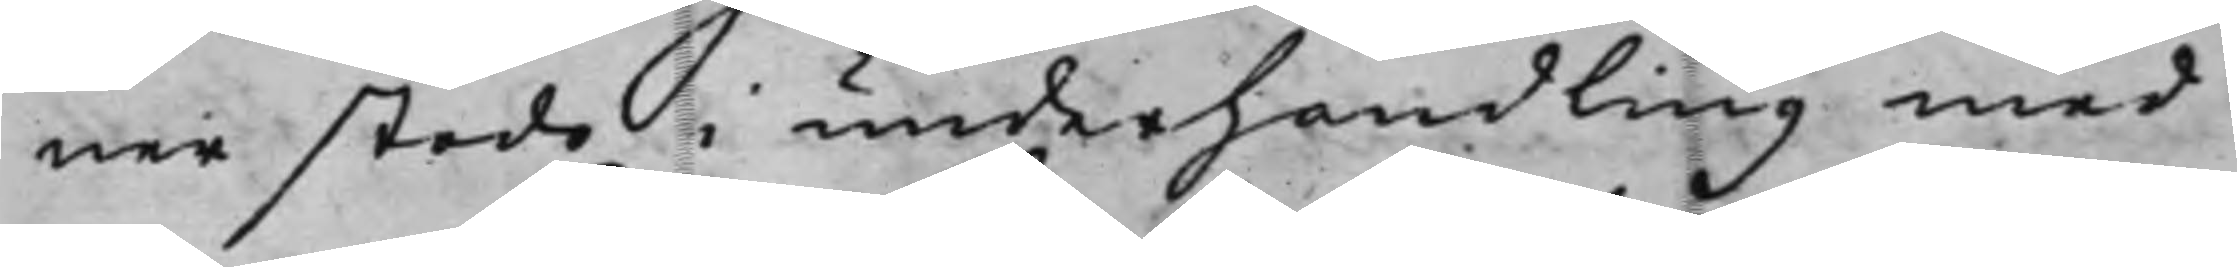ner stodo i underhandling med
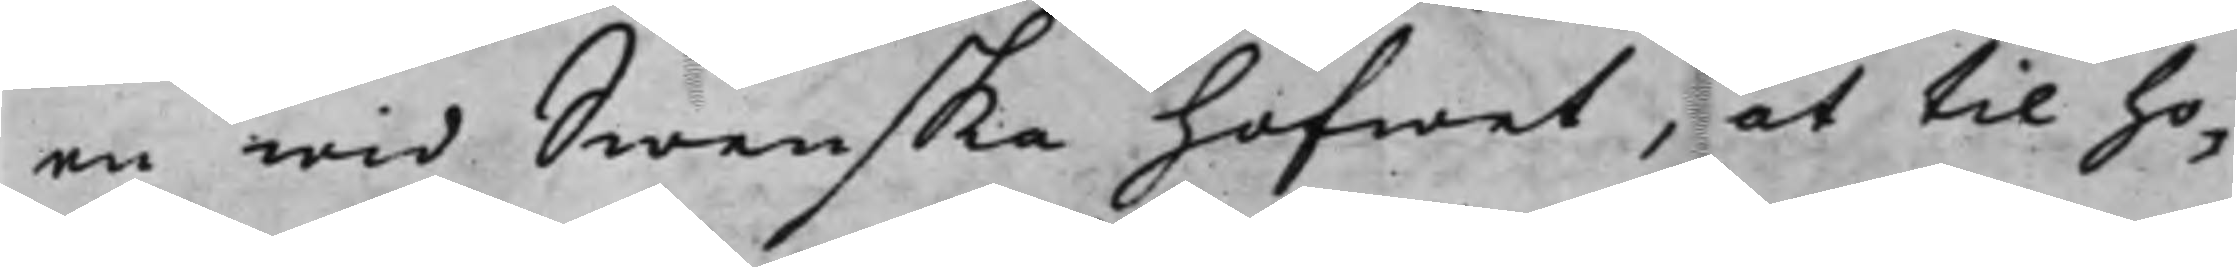en wid Swenska hofwet, at til ho¬
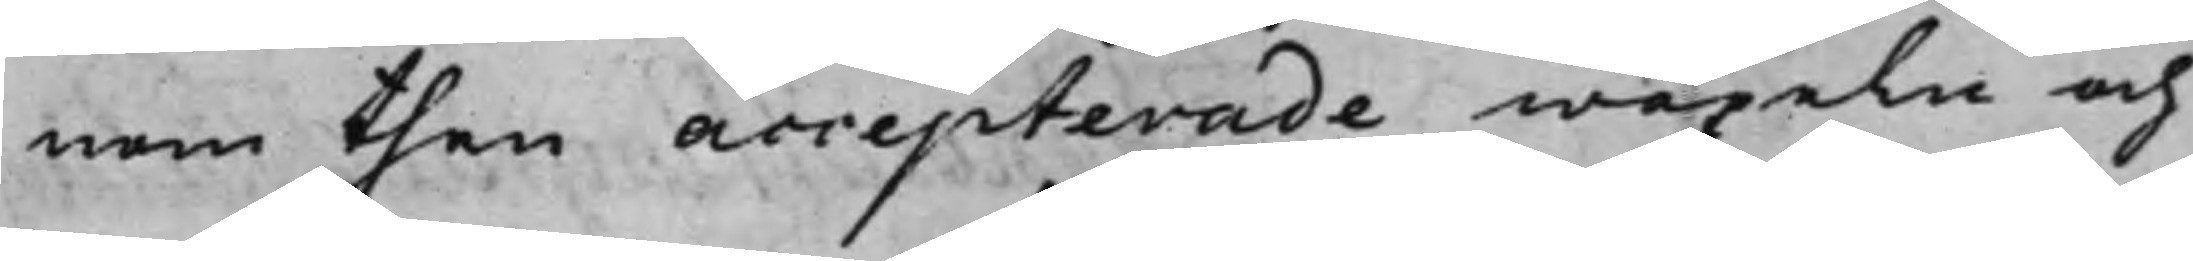nom then accepterade wäxeln och
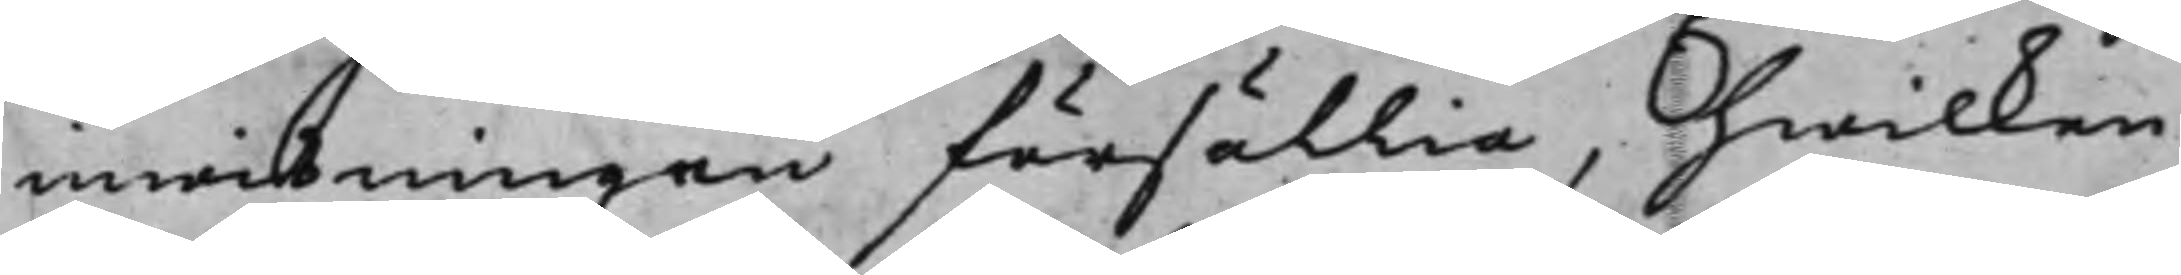inwisningen försällia, hwilken
